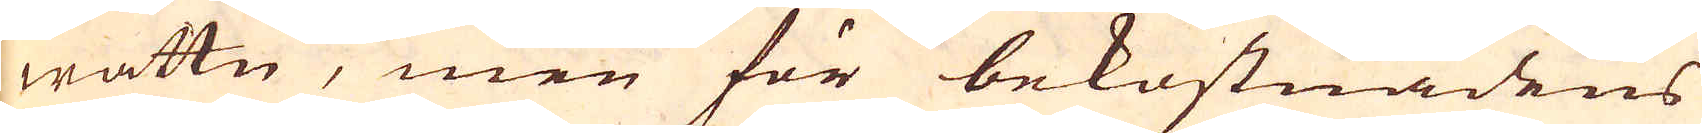wattn, men för bekostnadens
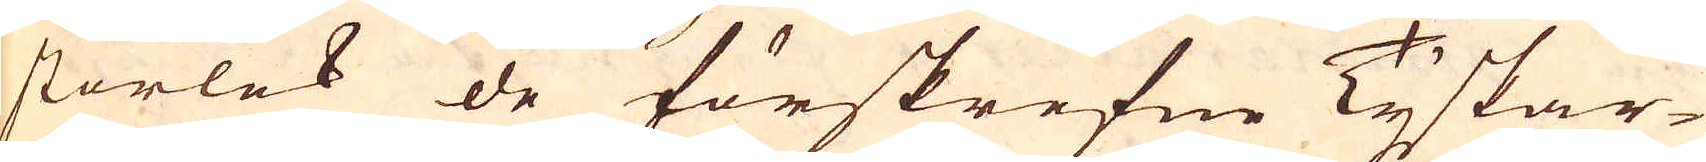storlek de förskrefne Tyskar-
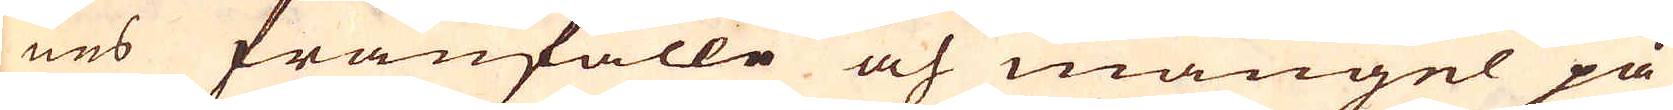nes frånfälle och mangel på
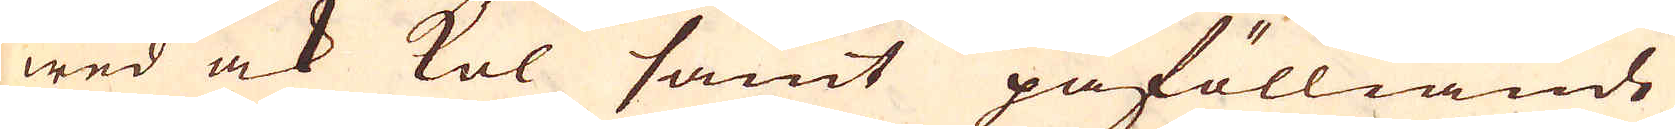wed ock kol samt påfölliande
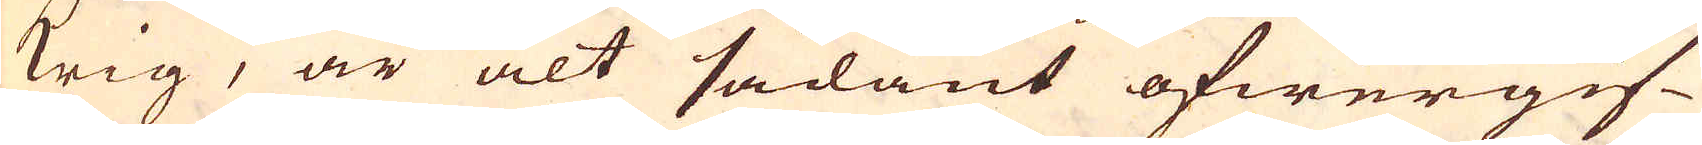krig, är alt sådant öfwergif-
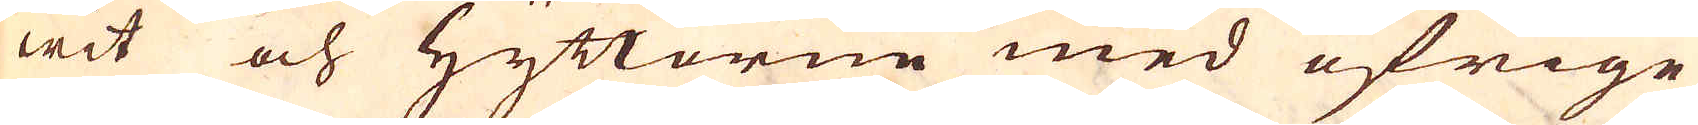wit och Hyttorne med öfrige
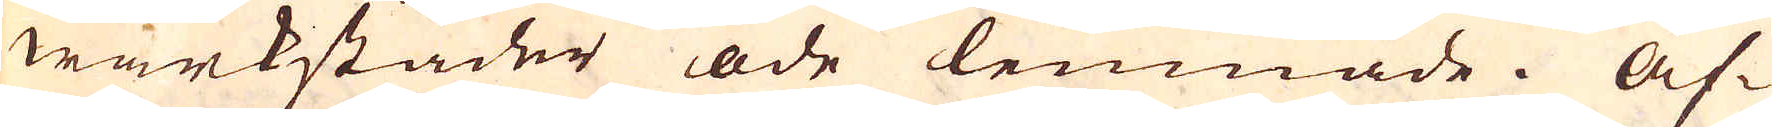wärkstäder öde lemnade. Äf-
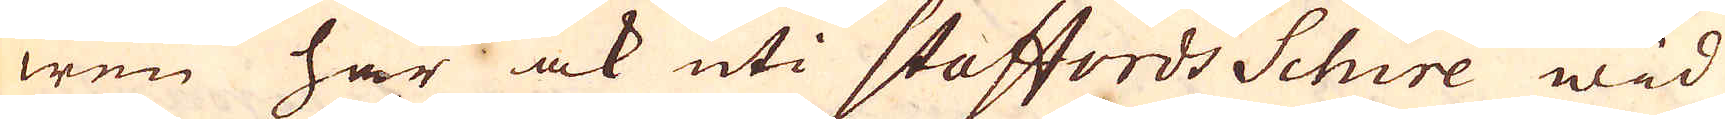wen har ock uti Staffords Schire wid
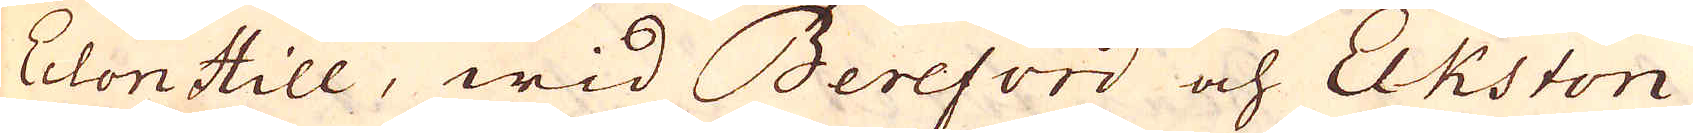Eclon Hill, wid Bereford och Elkston
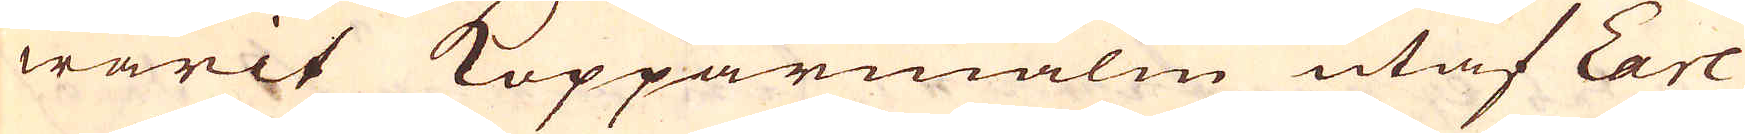warit Kopparmalm utaf Earl
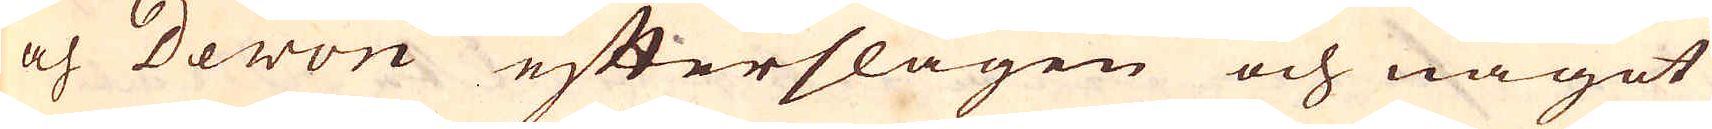och Devon efterslagen och något
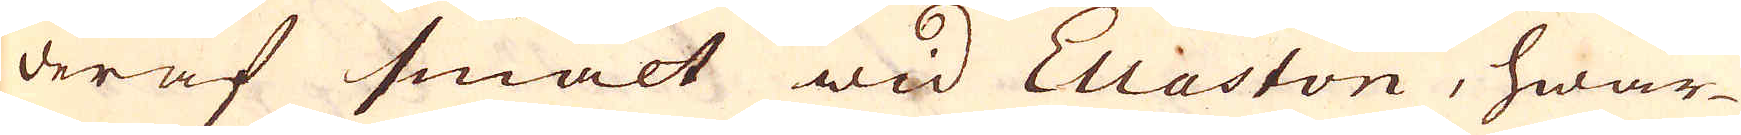deraf smält wid Ellaston, hwar-
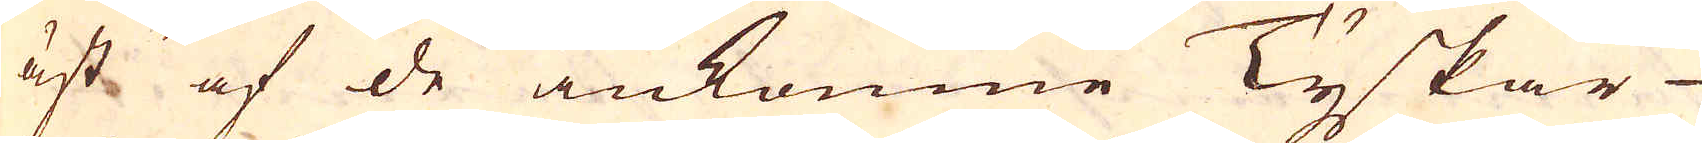äst af de inkomne Tyskar
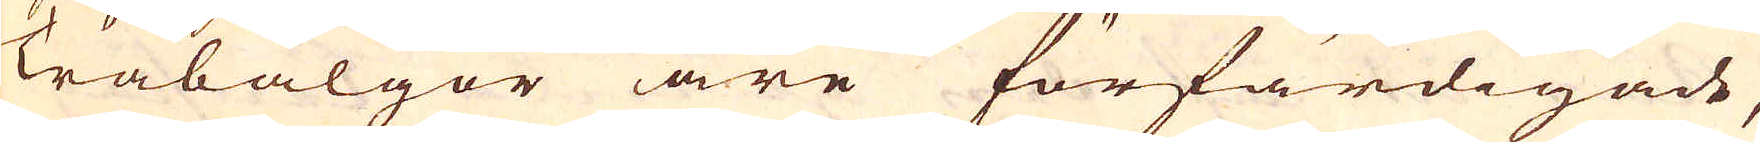Träbälgor äre förfärdigade,
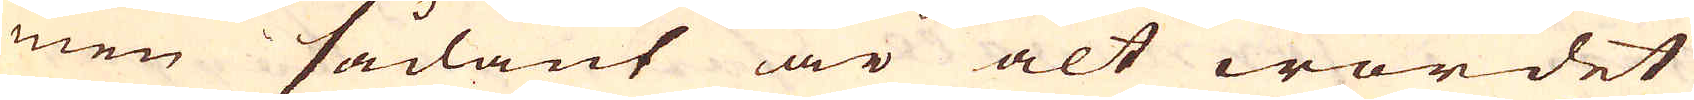men sådant är alt wordet
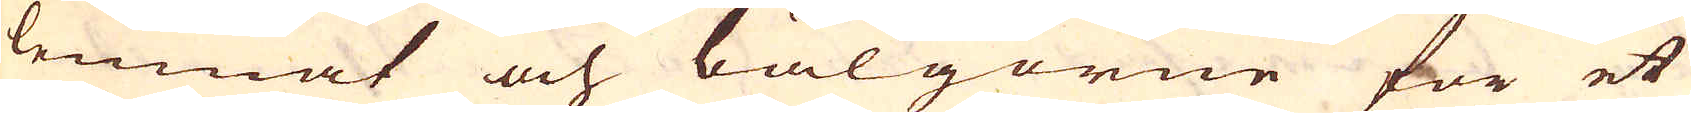lemnat och bälgorne för et
